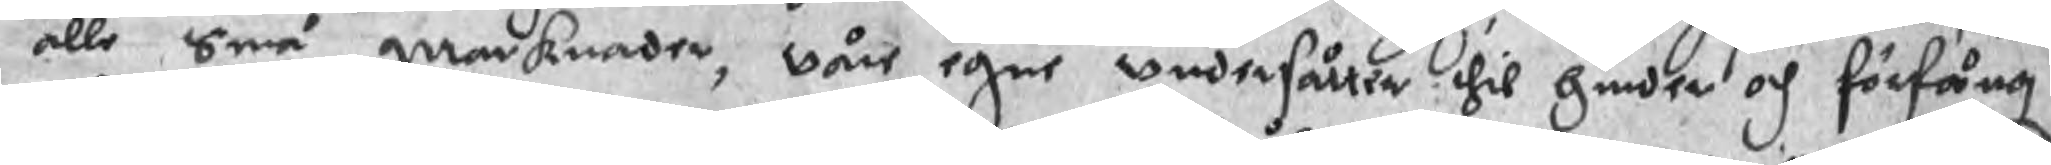alle Små marknader, wåre egne vndersåtter thil hider och förfång
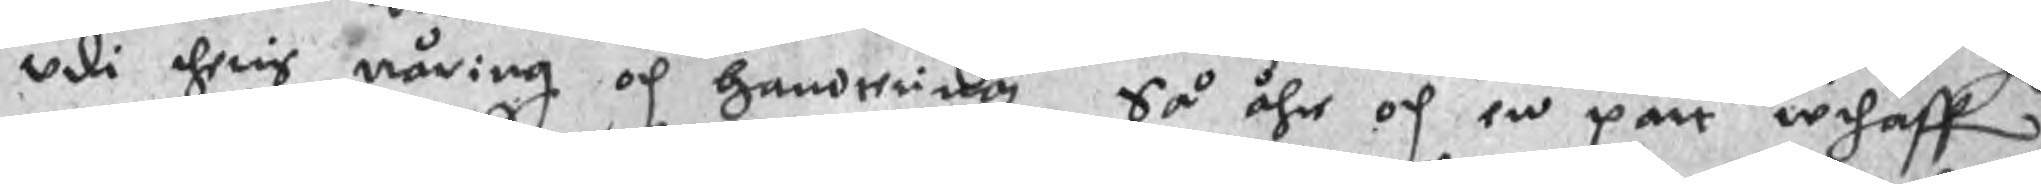vdi theris näring och handtering. Så ähr och en part wthaff
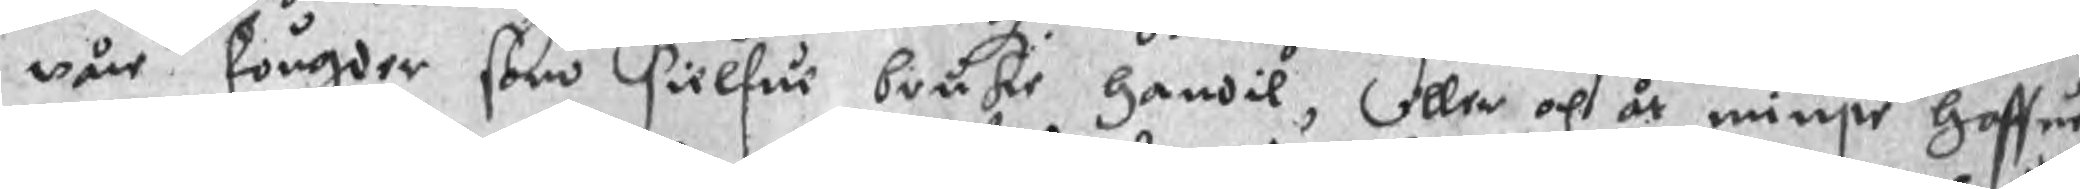wår fougder som sielfue bruke handil, eller och är minste Haffur
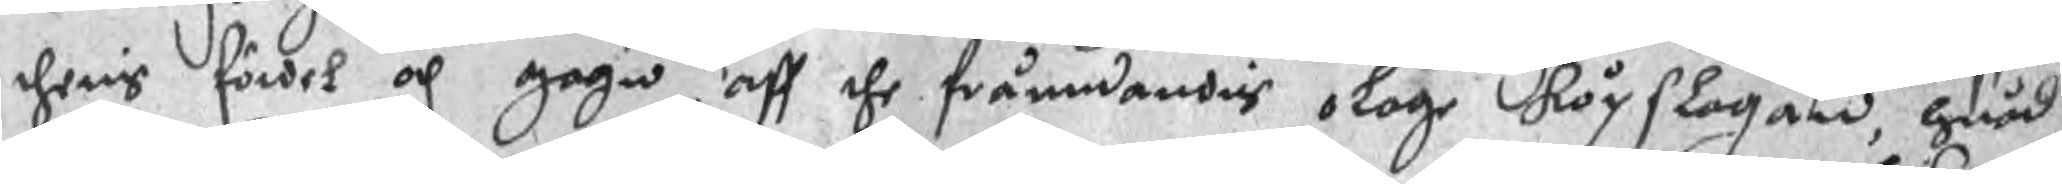theris fördel och gagn aff the främdandis olage köpslagan, huad
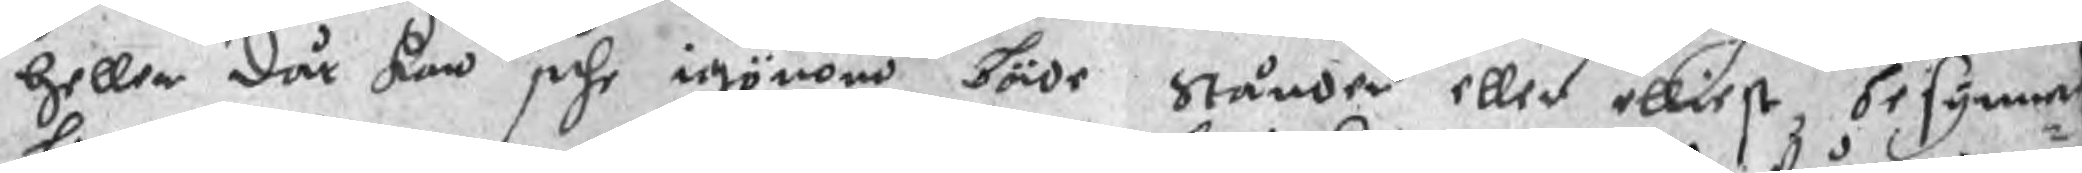heller där kan sche igönom böde Stånder eller elliest besynner¬
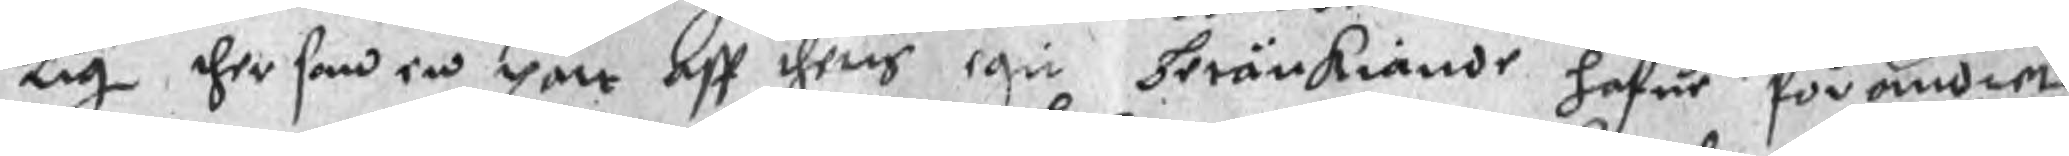lig ther som en part aff theris egin beränkiande hafue förandlet
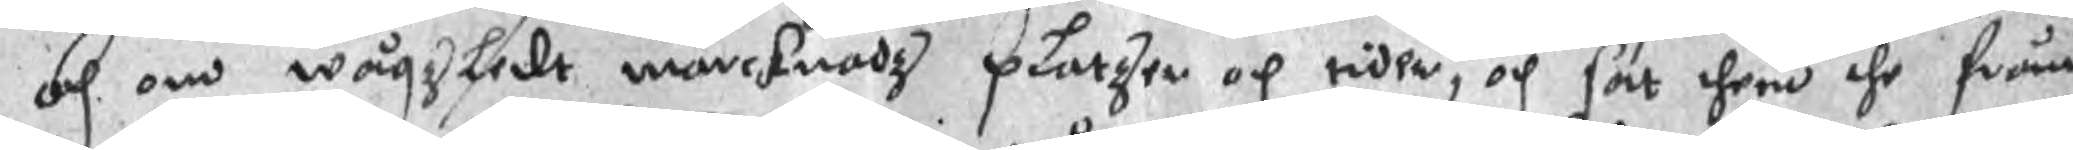och om wågzdledt marknadz platzen och tiden, och sat then the främ¬
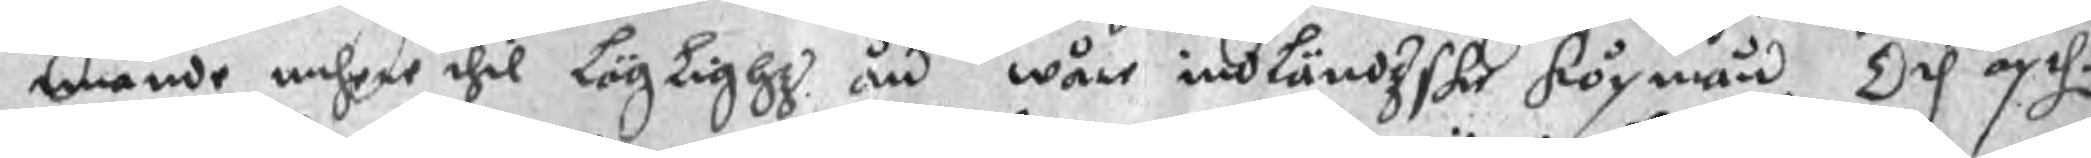mande unhere thil Läglighz än wåre indländzske köpmän. Och äpthe
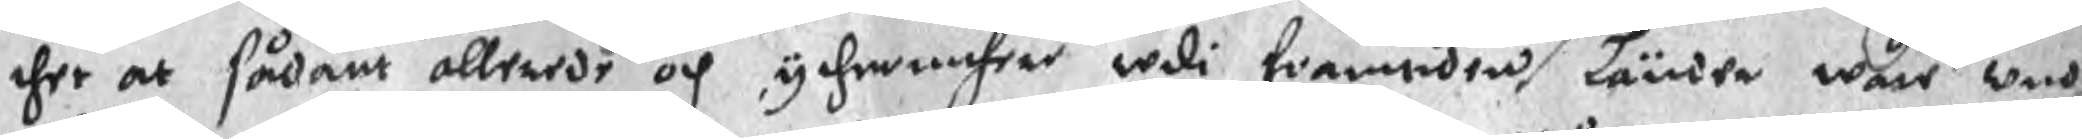ther at sådant allerede och ythermehere wdi framtiden Länder wåre wnd¬
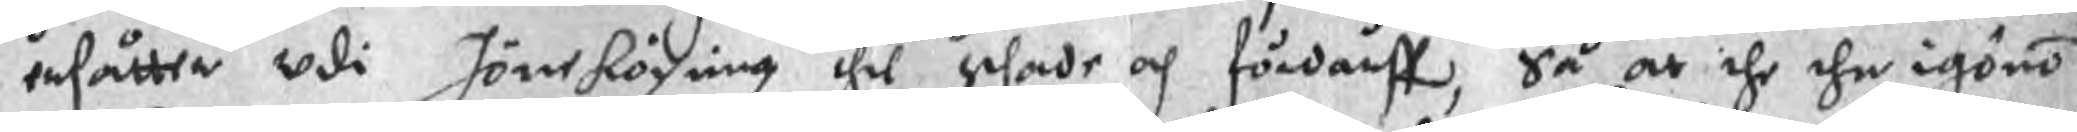ersåtter vdi Jöneköping thil schade och fördärff, så at the thn igöno
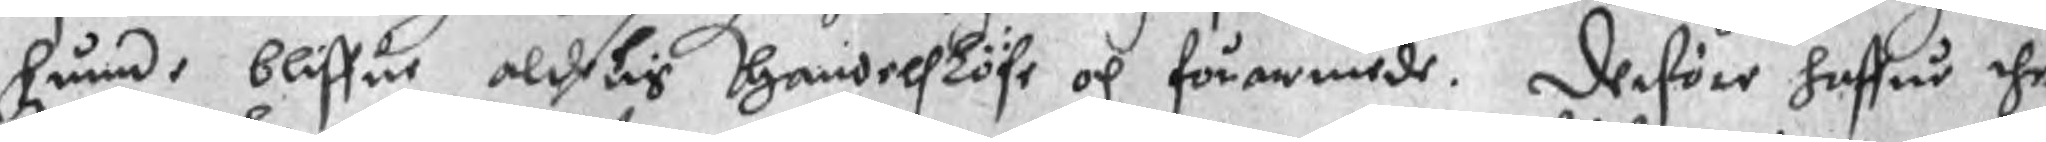hunde bliffue aldelis handelsLöfe och förarmede. Derföre haffue the
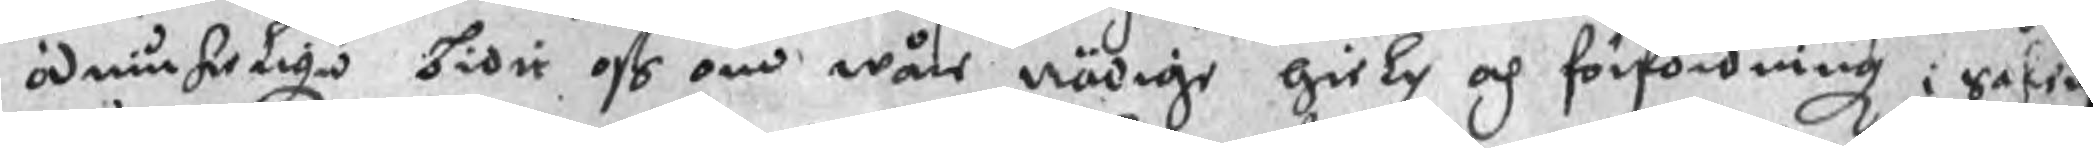ödmiukeliga bidit oss om wåre nödige hielp och förfordning i Saken
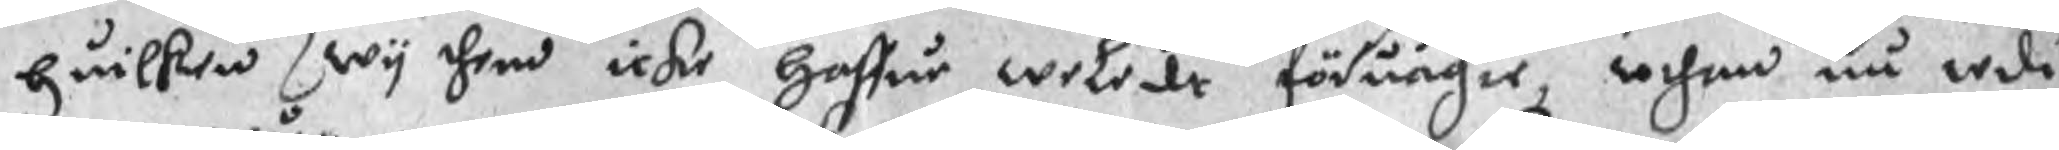huilken wy them icke haffue weladt föruägie, uthan nu wdi
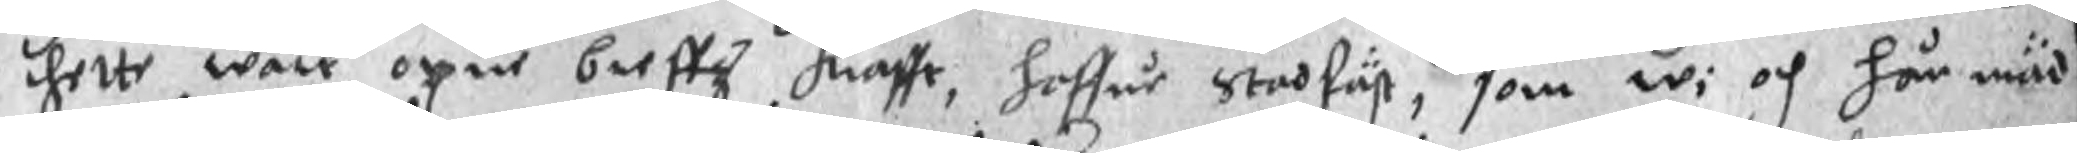thette wåre opne breffz krafft, haffue Stadfäst, som wi och här mäd
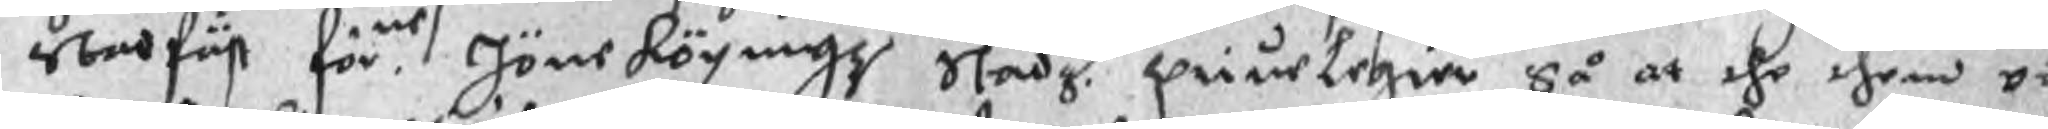Stadfäst för.ne Jönekögingz Stadz priuelegier Så at the them o¬
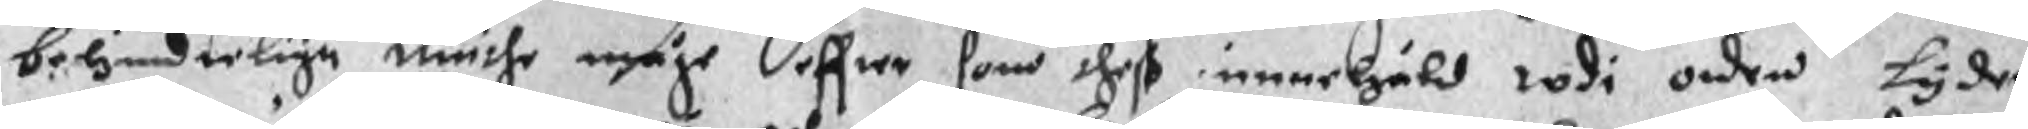behinderlige niuthe måge effter som theß innehåld wdi orden lyder
